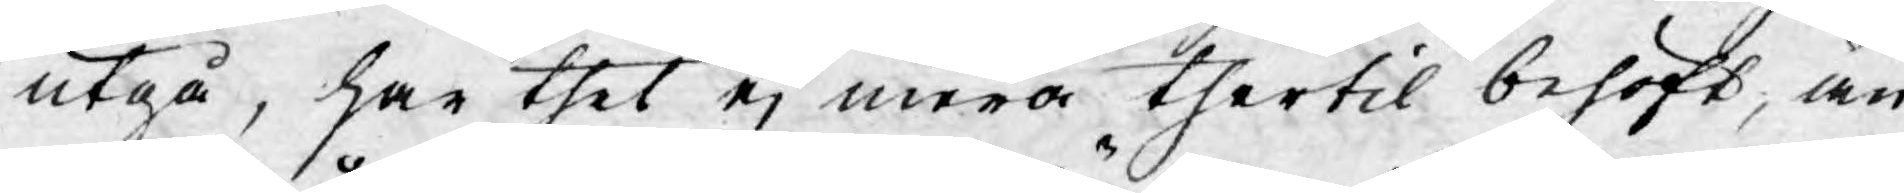utgå, har thet ej mera thertil behöft, än
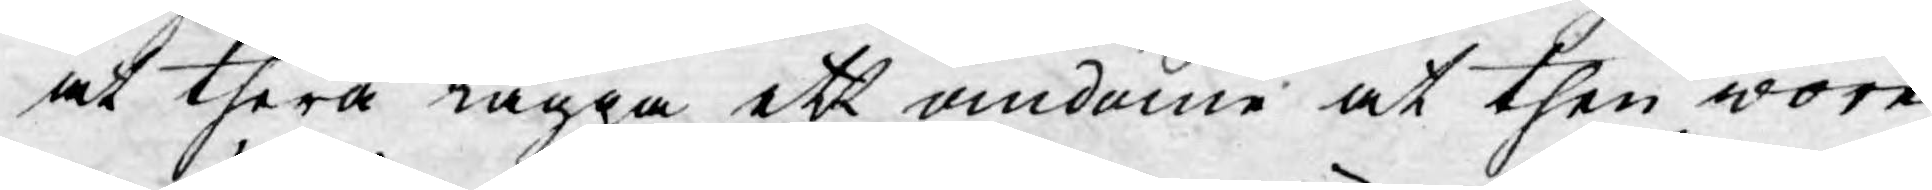at therå lägga ett omdöme at then wore
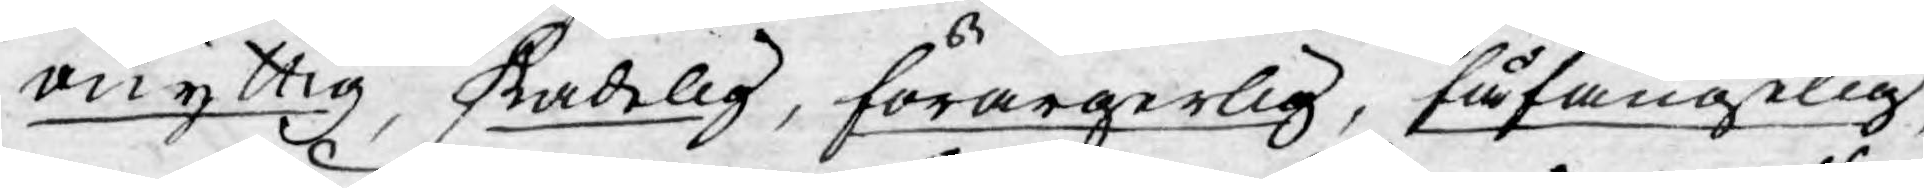onyttig, skadelig, förargerlig, fåfängelig,
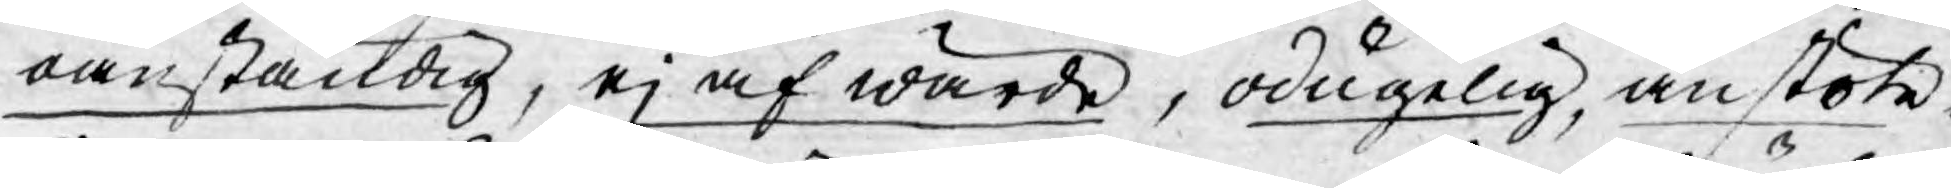oanständig, ej af wärde, odugelig, anstöte¬
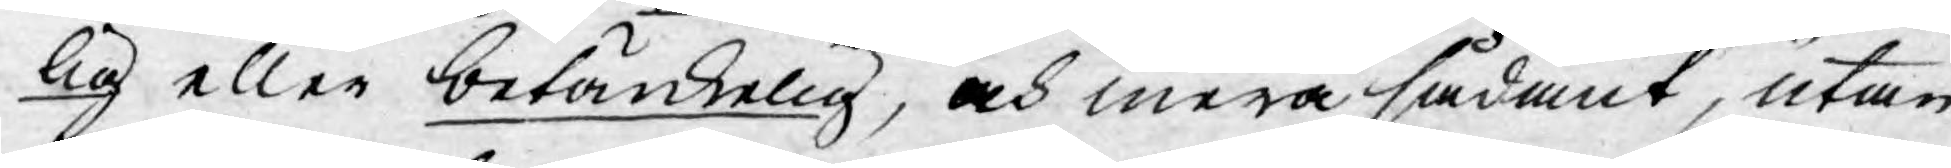lig eller betänkelig, och mera sådant, utan
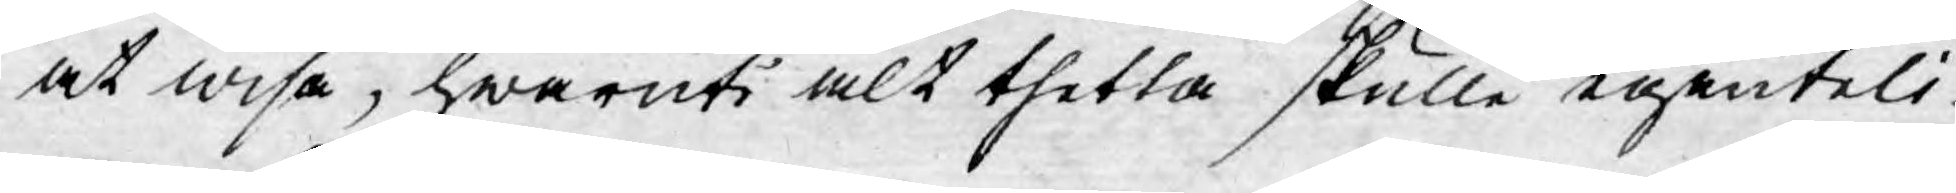at wisa, hwaruti alt thetta skulle egenteli¬
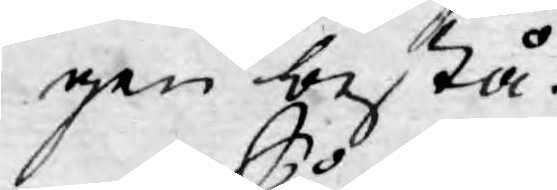gen bestå.
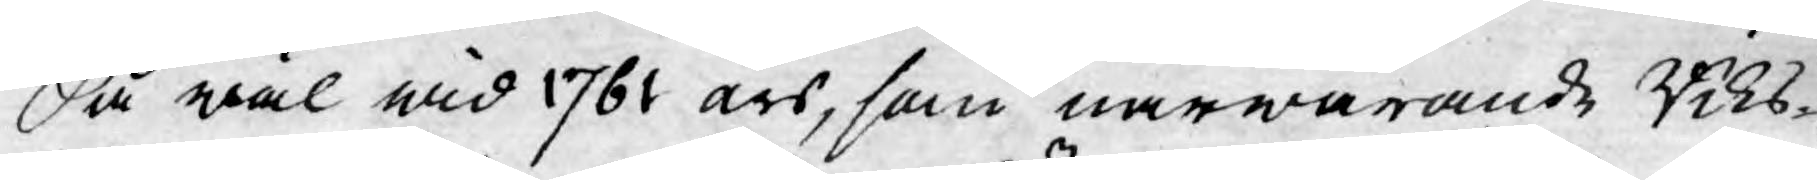Så wäl wid 1761 års, som närwarande Riks¬
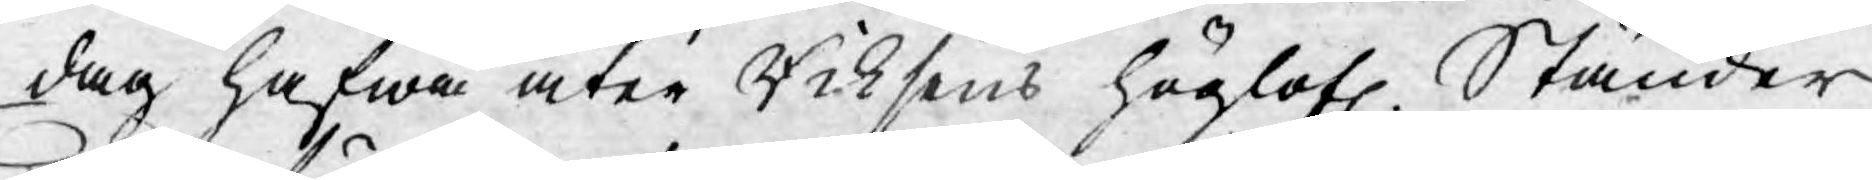dag hafwa åter Riksens höglofl. Ständer
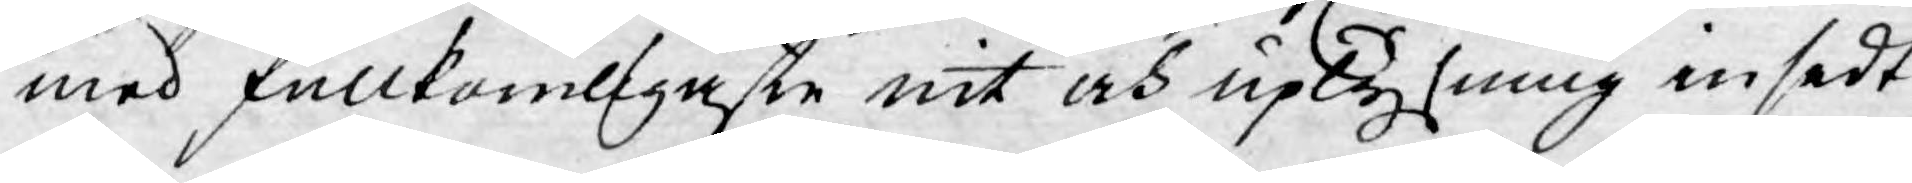med fullkomligaste nit och uplysning insedt
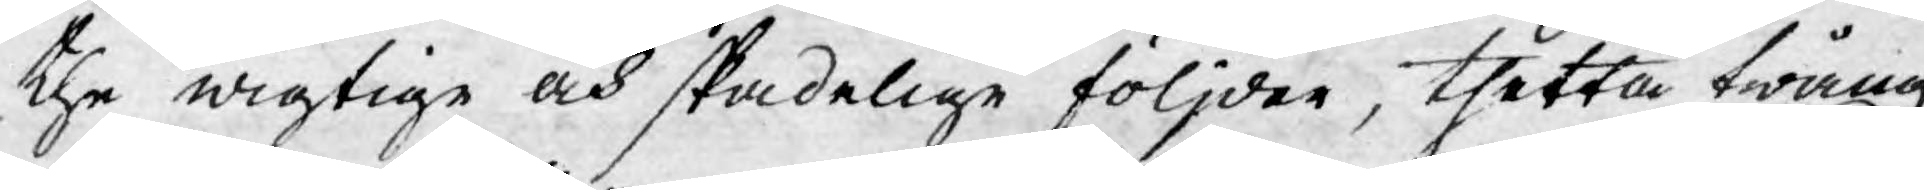the wigtige och skadelige följder, thetta twång
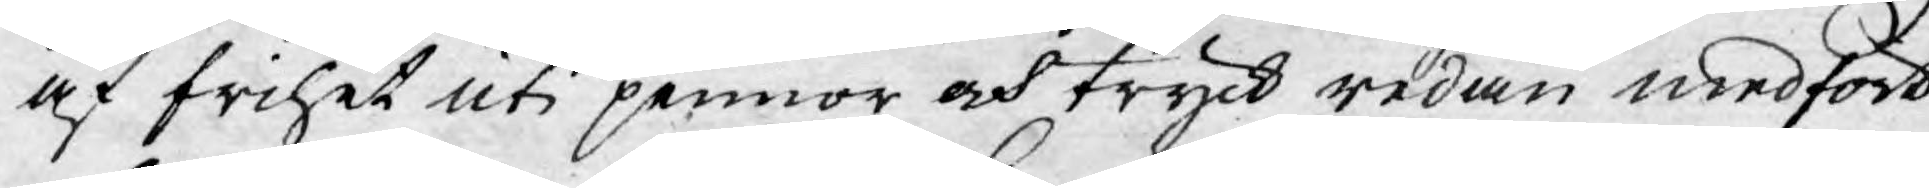af frihet uti pennor och tryck redan medfört
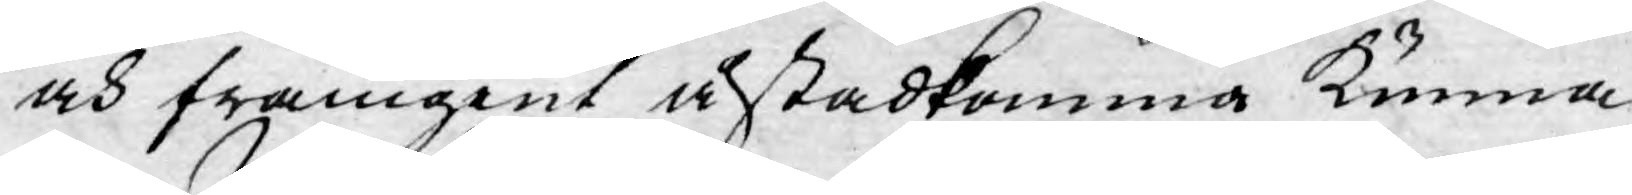och framgent åstadkomma kunna.
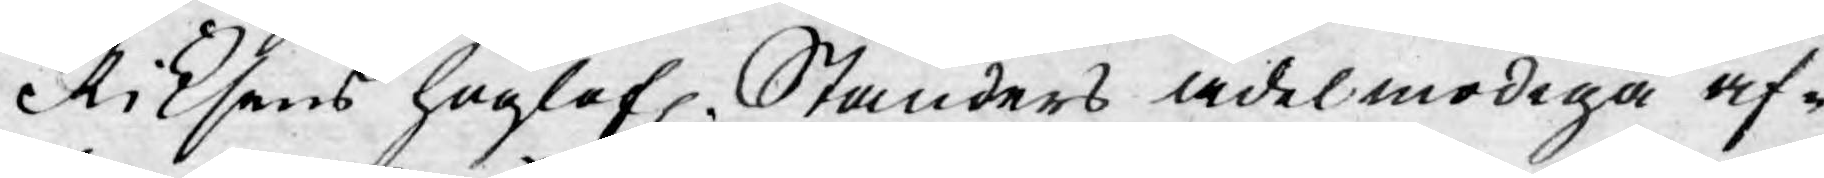Riksens höglofl. Ständers ädelmodiga af¬
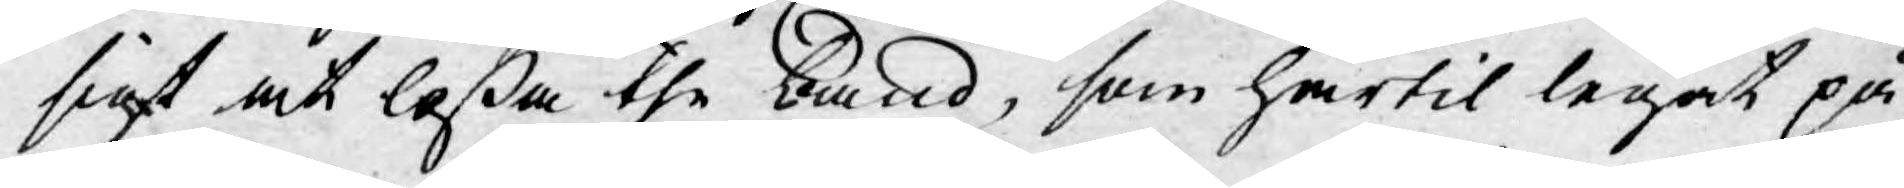sigt at loßa the band, som härtil legat på
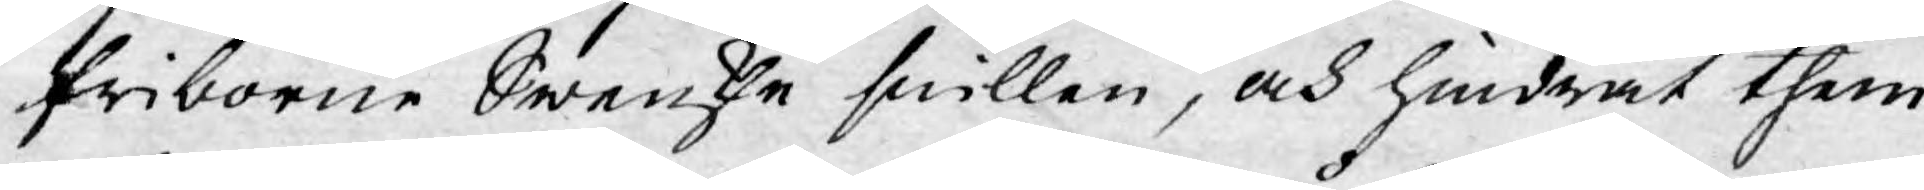friborne Swenske snillen, och hindrat them
